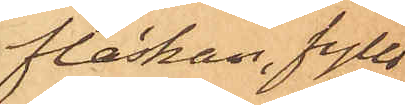flaskan, fylld
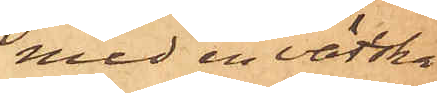med en vätska
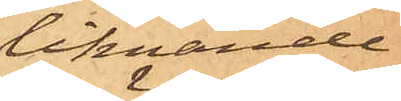liknande
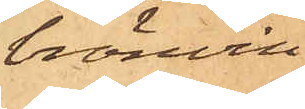bränvin
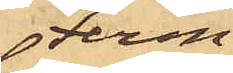Ferm
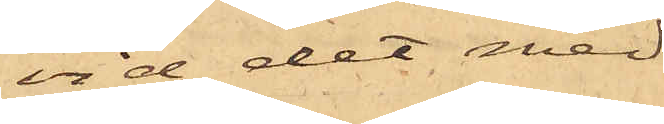vid det med
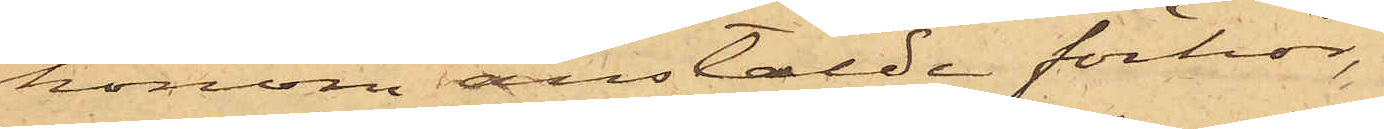honom anstälde förhör,
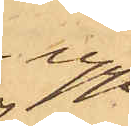upp¬
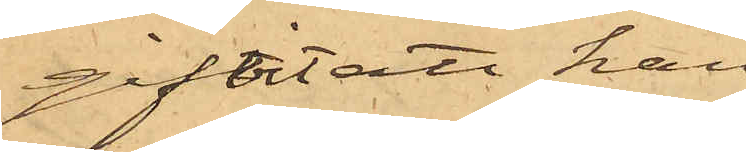gifvit att han
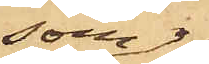som
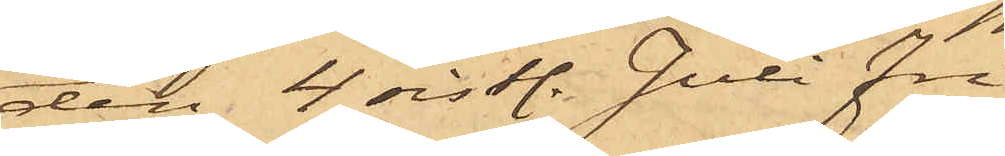den 4 sistl. Juli fri¬
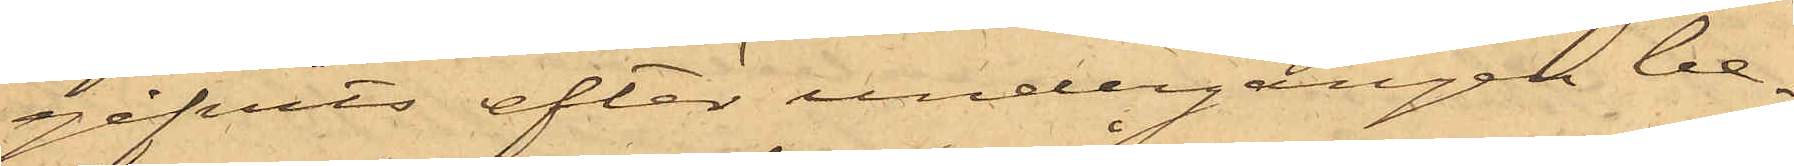gifvits efter undergången be¬
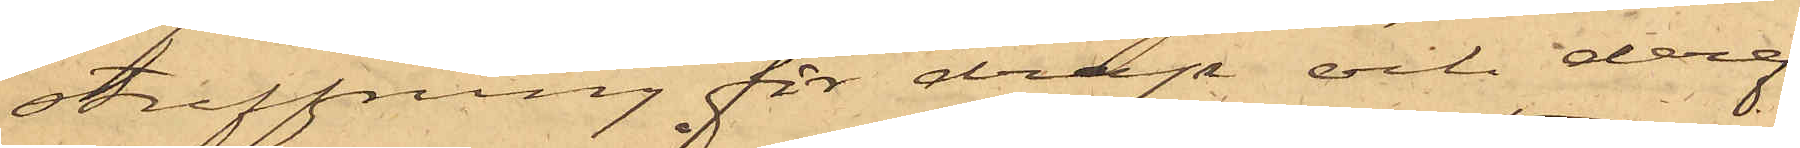straffning för dråp och deref¬
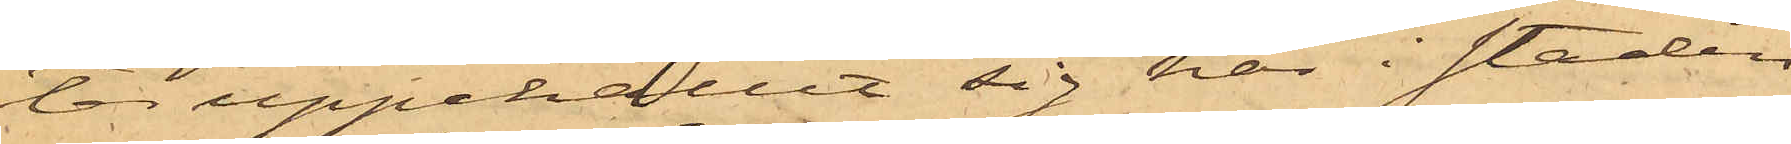ter uppehållit sig här i staden
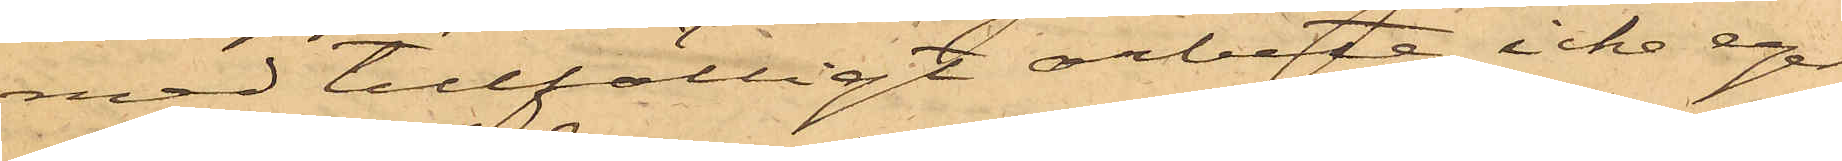med tillfälligt arbete, icke eger
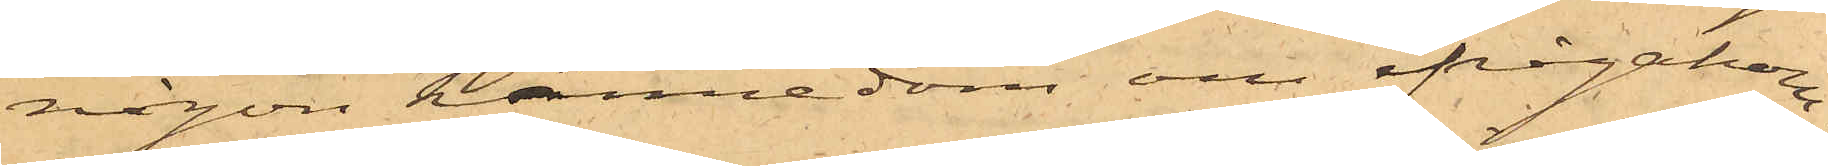någon kännedom om ifrågakom¬
